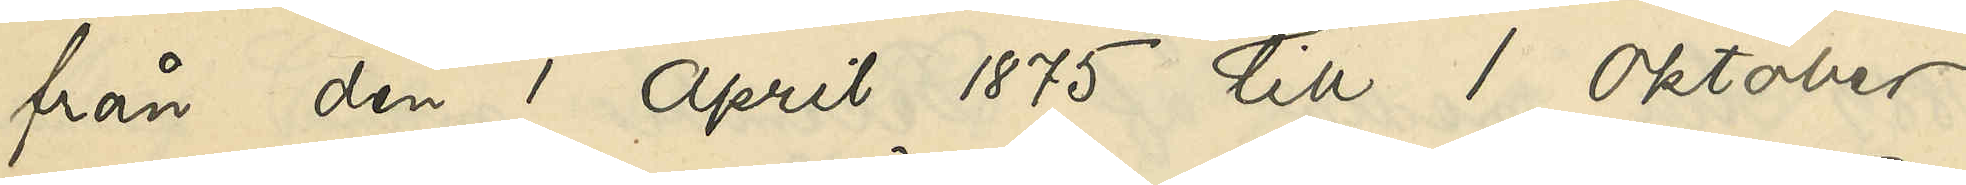från den 1 April 1875 till 1 Oktober
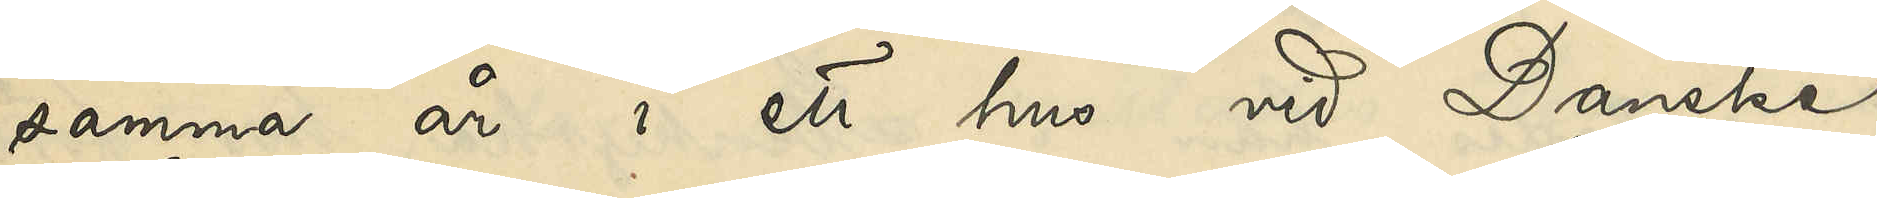samma år i ett hus vid Danske
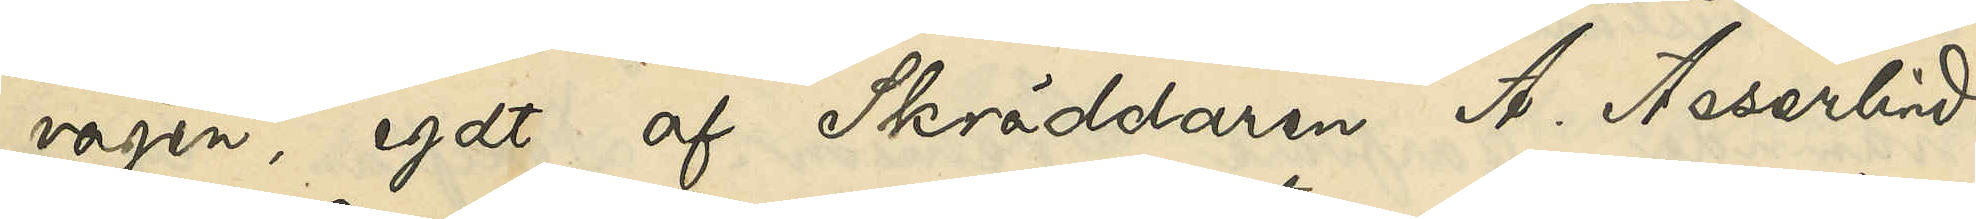vägen, egdt af Skräddaren A. Asserlind.
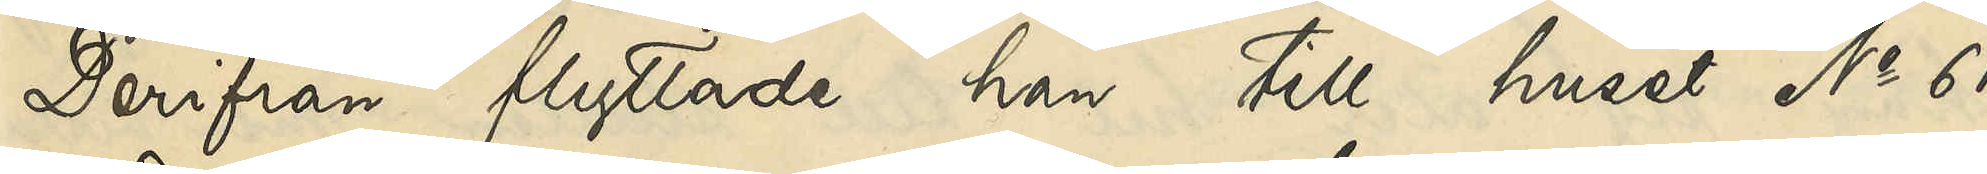Derifrån flyttade han till huset No 61
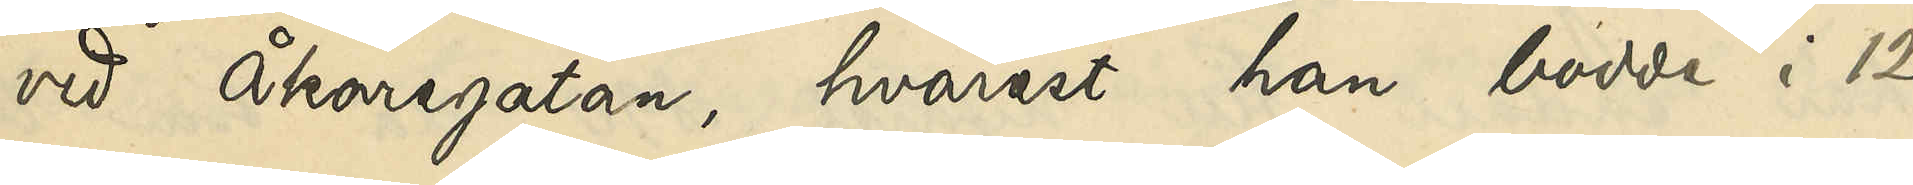vid Åkaregatan, hvarest han bodde i 12
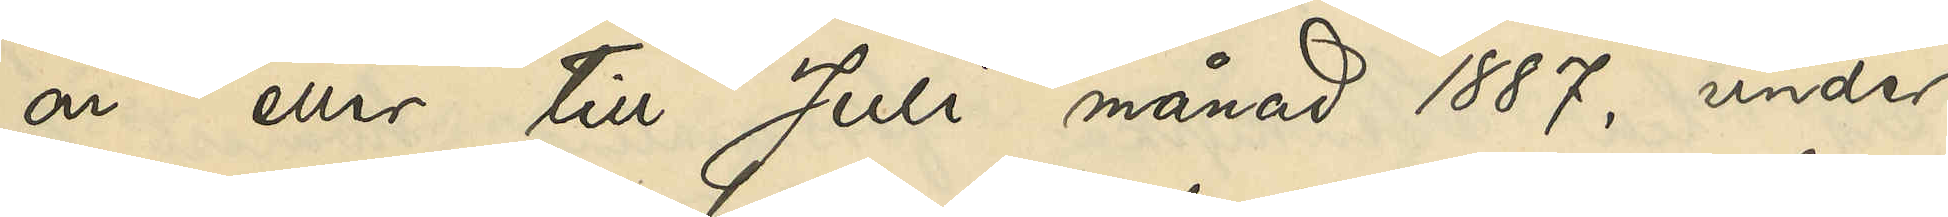år eller till Juli månad 1887, under
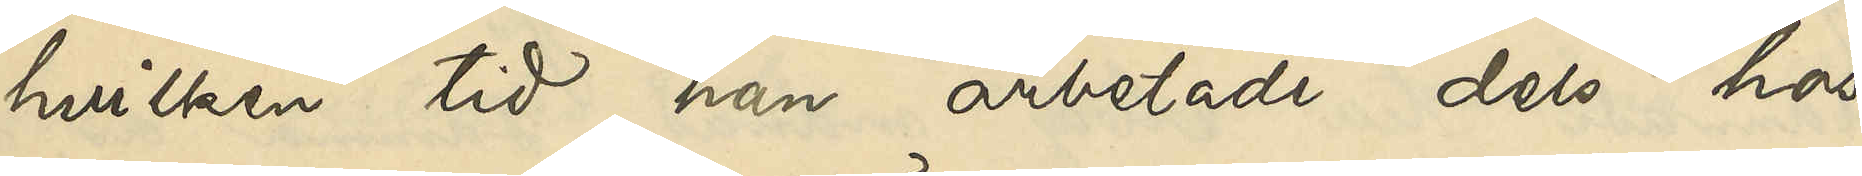hvilken tid han arbetade dels hos
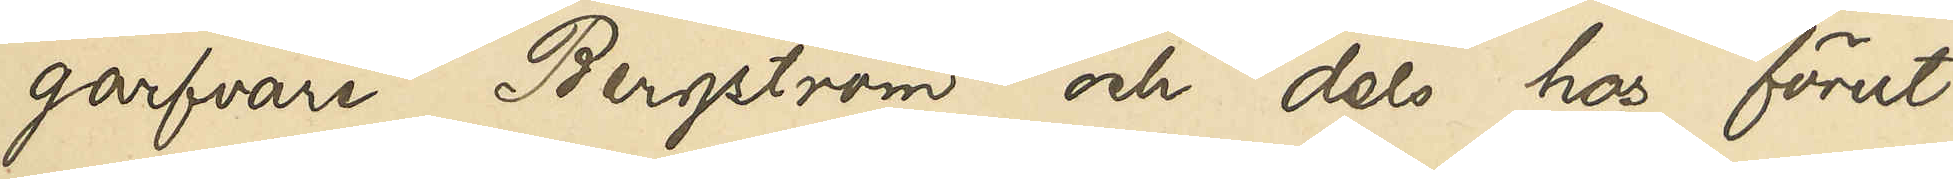garfvare Bergström och dels hos förut¬
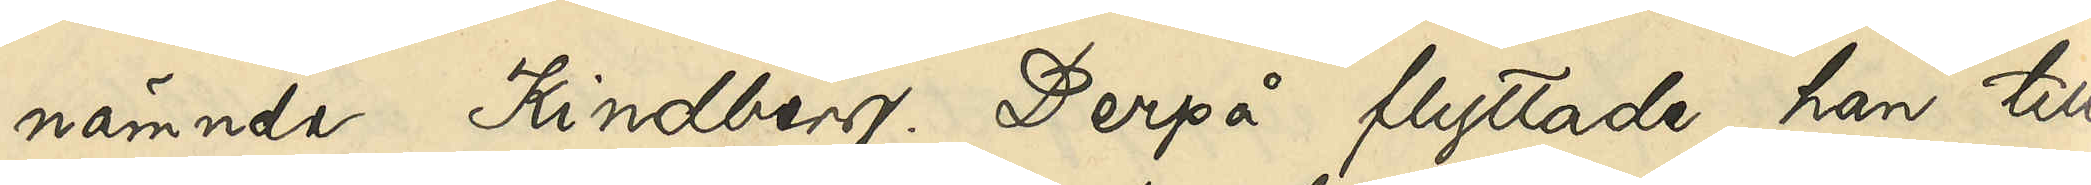nämnde Kindberg. Derpå flyttade han till
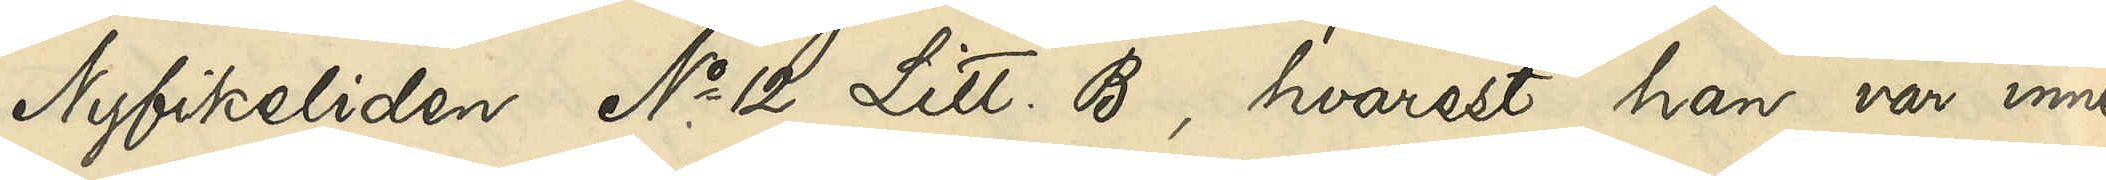Nyfikeliden No 12 Litt. B, hvarest han var inne¬
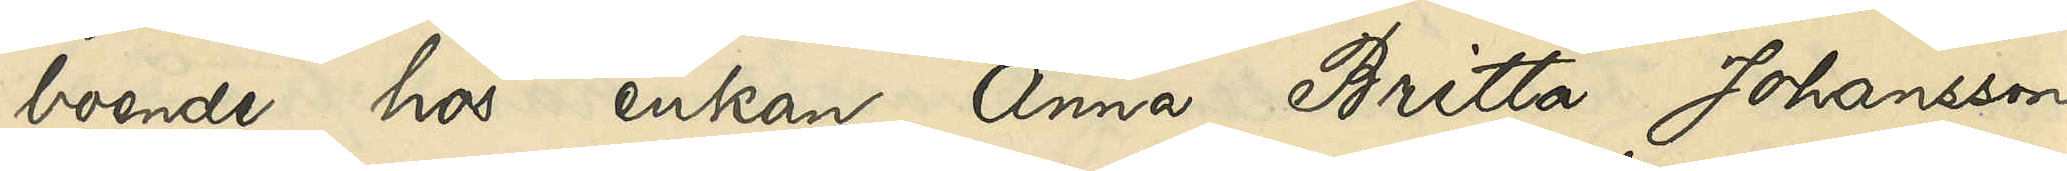boende hos enkan Anna Britta Johansson
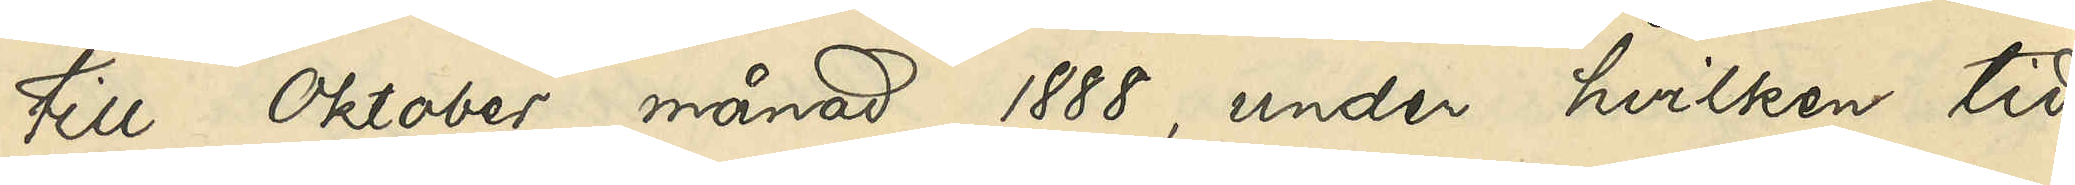till Oktober månad 1888, under hvilken tid
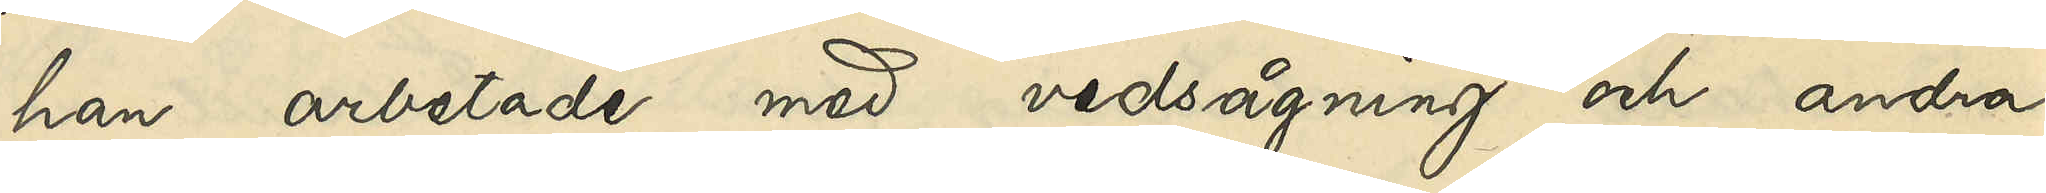han arbetade med vedsågning och andra
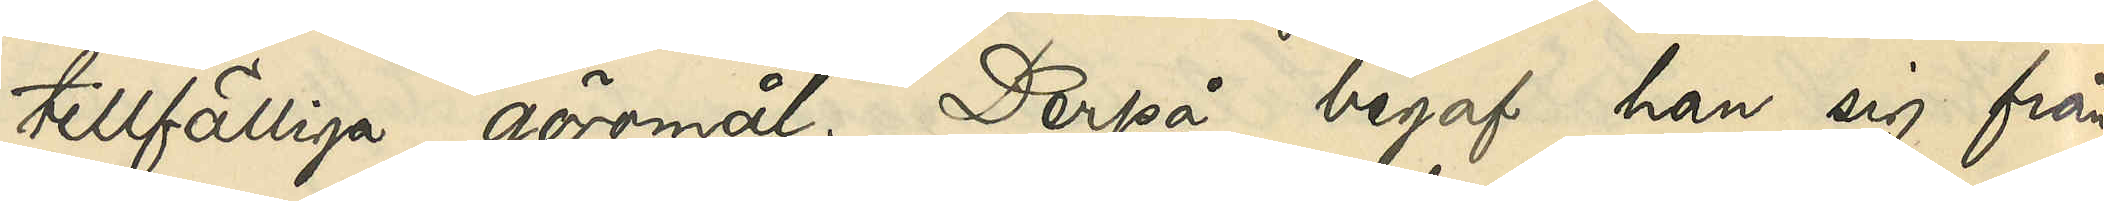tillfälliga göromål. Derpå begaf han sig från
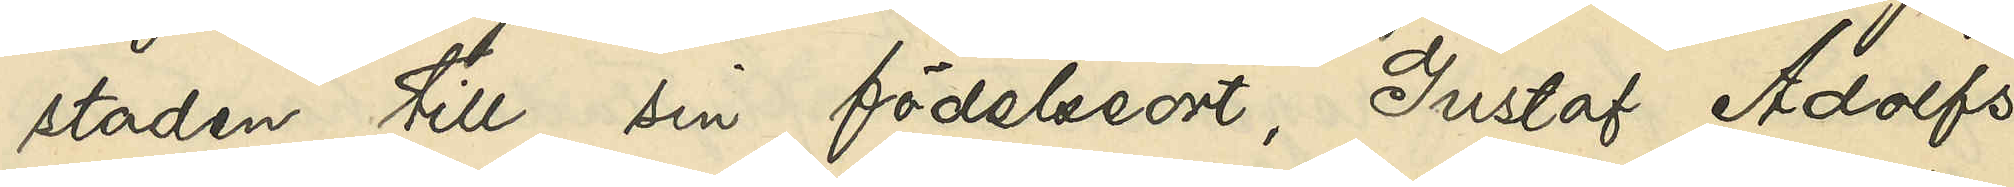staden till sin födelseort, Gustaf Adolfs
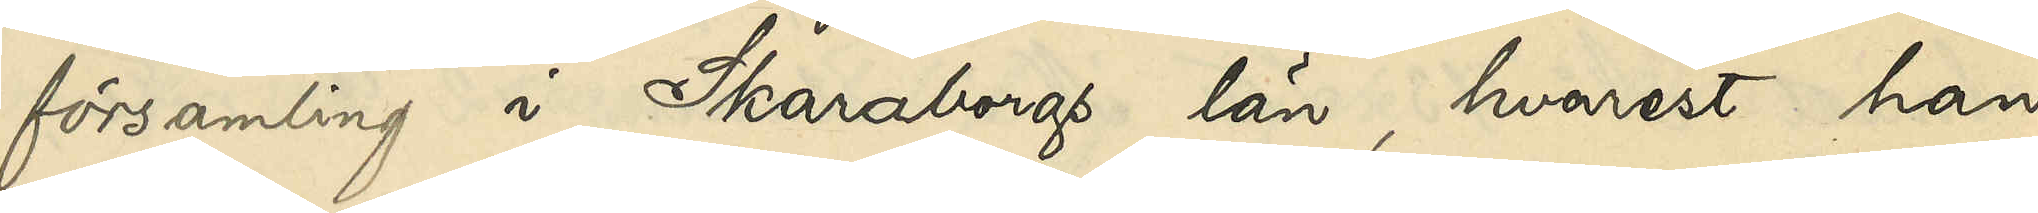församling i Skaraborgs län, hvarest han
